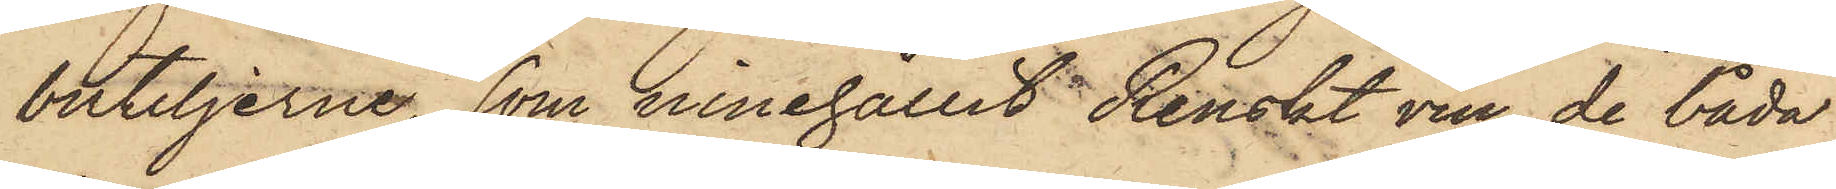buteljerne, som innehållit Renskt vin, de båda
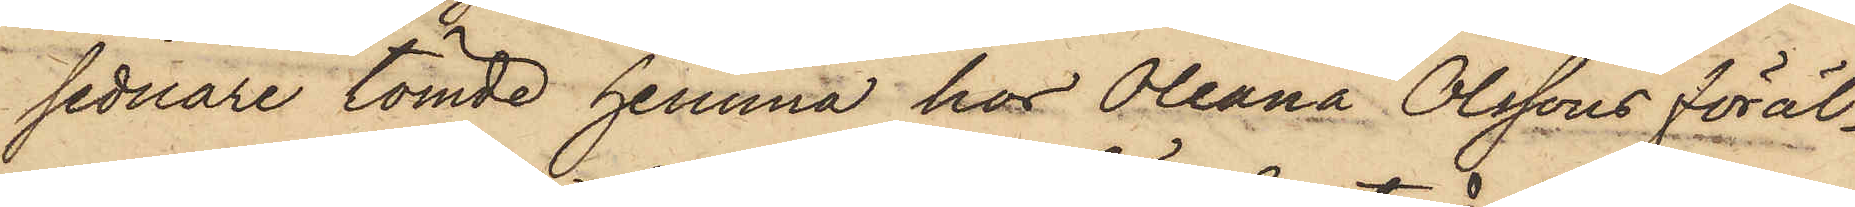sednare tömde hemma hos Oleana Olssons föräl¬
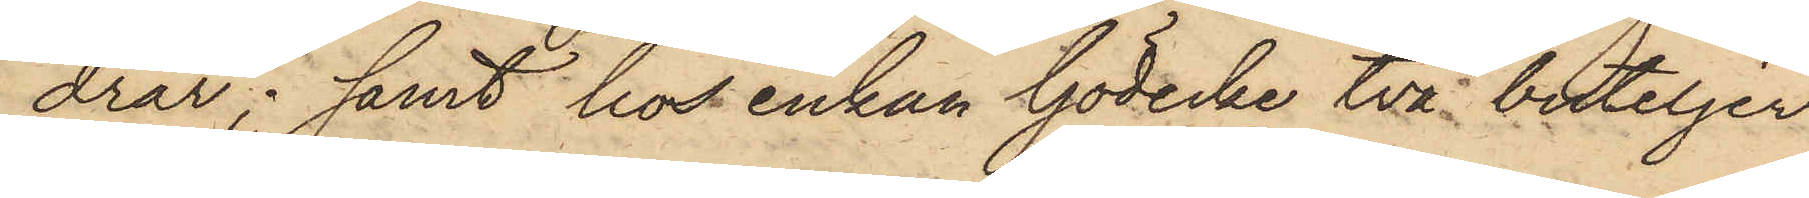drar; samt hos enkan Gödecke två buteljer
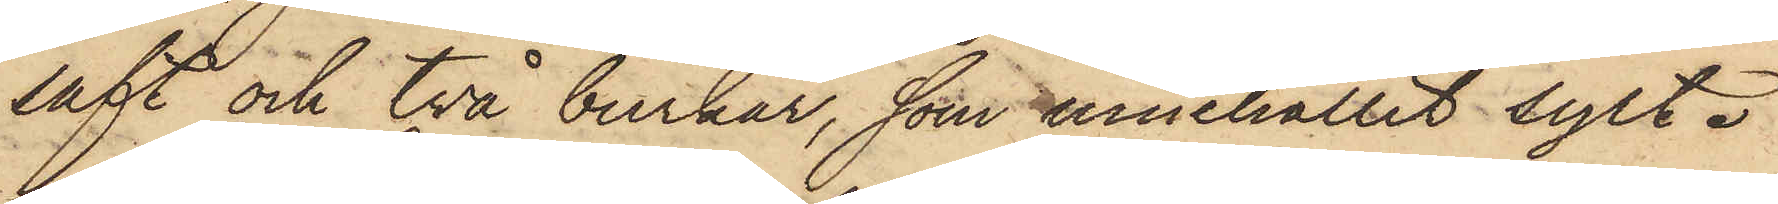saft och två burkar, som innehållit sylt.
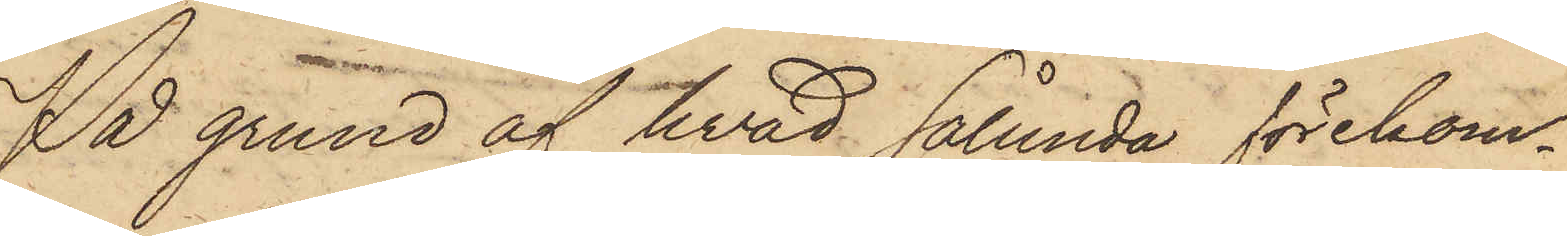På grund af hvad sålunda förekom¬
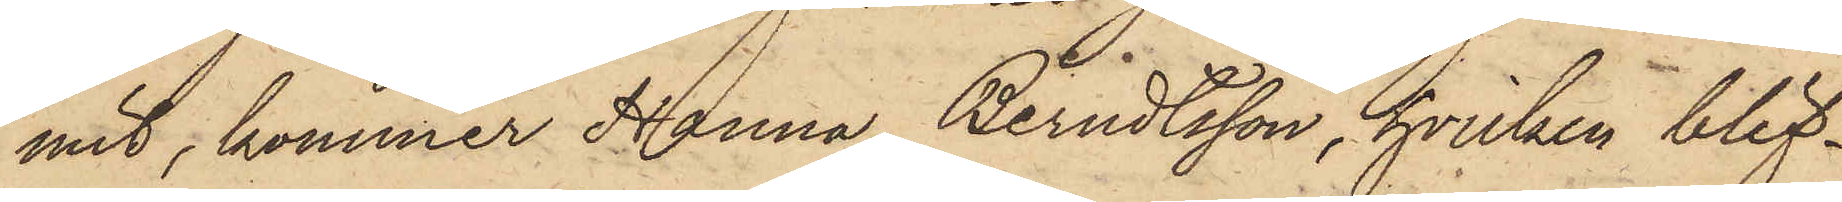mit, kommer Hanna Berndtsson, hvilken blif¬
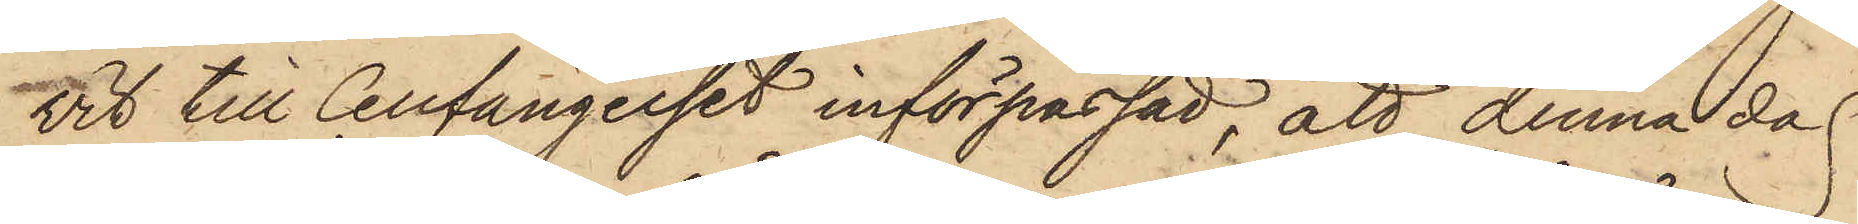vit till Cellfängelset införpassad, att denna dag
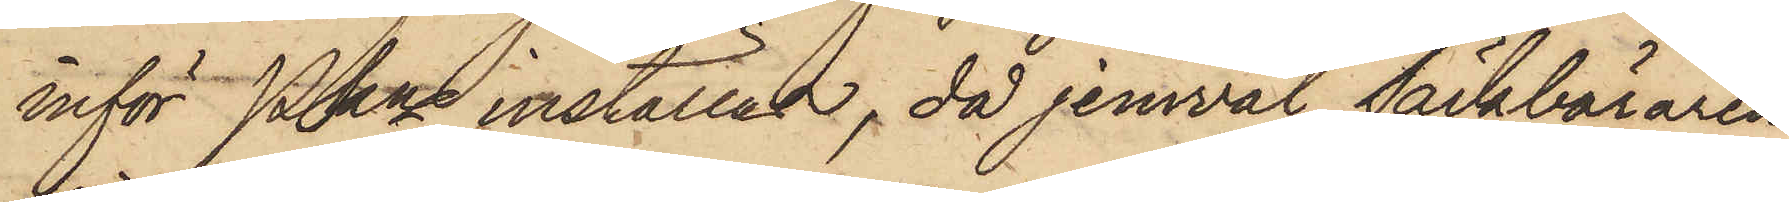inför PKn inställas, då jemväl Säckbäraren
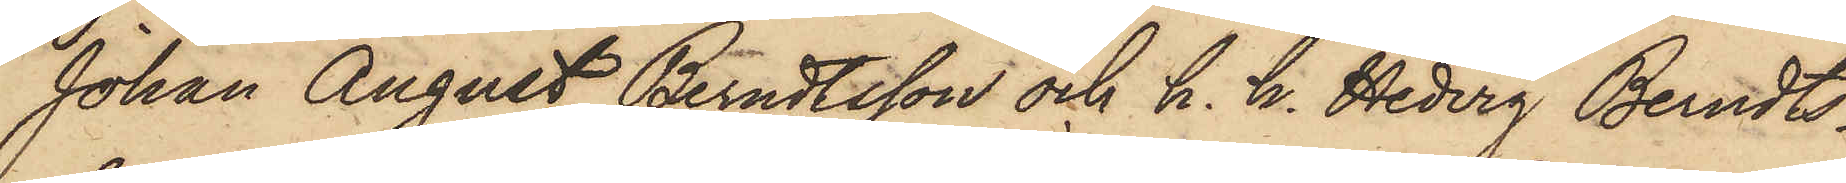Johan August Berndtsson och h. h. Hedvig Berndts¬
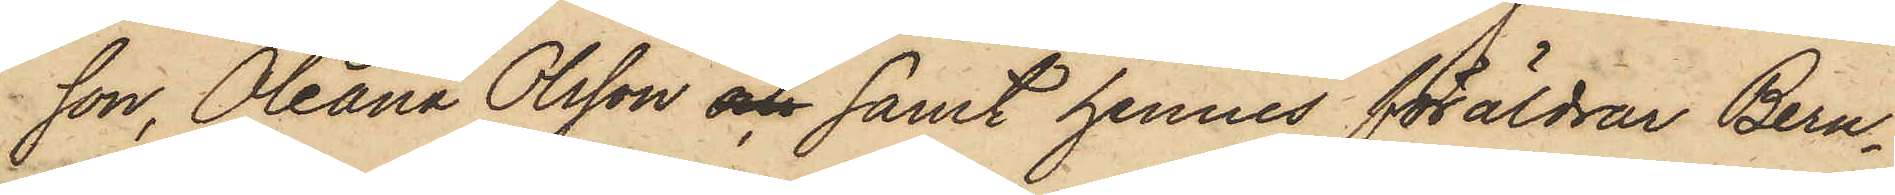son, Oleana Olsson och samt hennes föräldrar Bern¬
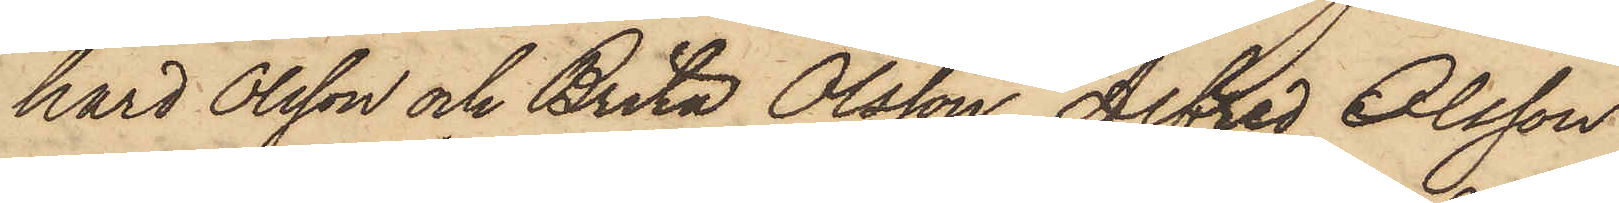hard Olsson och Brita Olsson, Alfred Olsson,
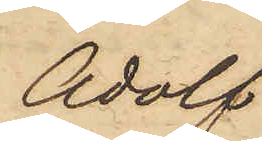Adolf
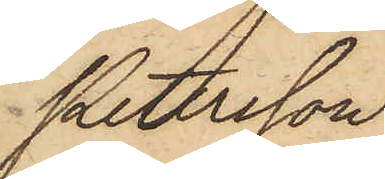Petersson,
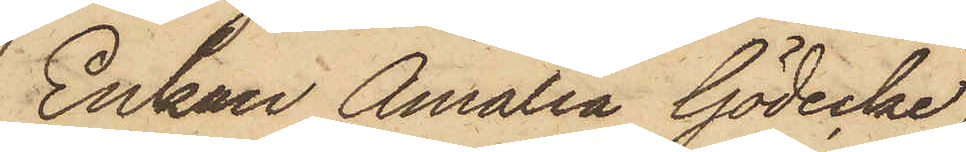Enkan Amalia Gödecke
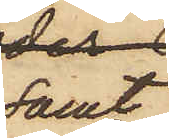samt
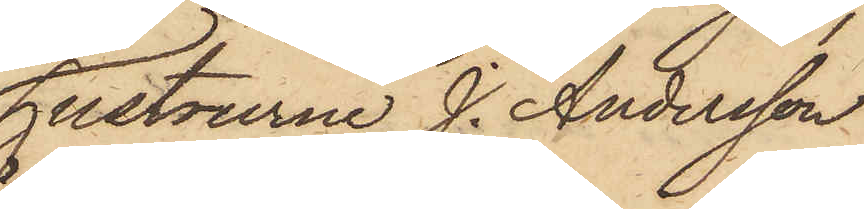hustrurne J. Andersson
